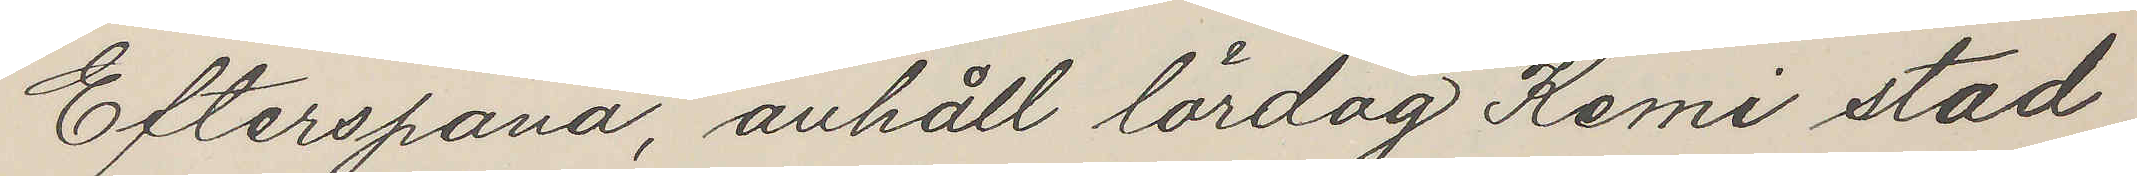Efterspana, anhåll lördag Kemi stad
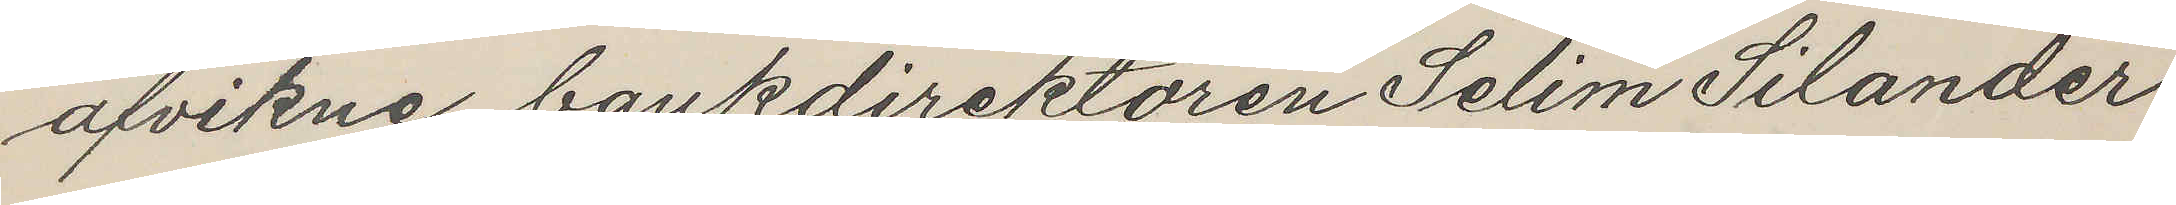afvikne bankdirektören Selim Silander
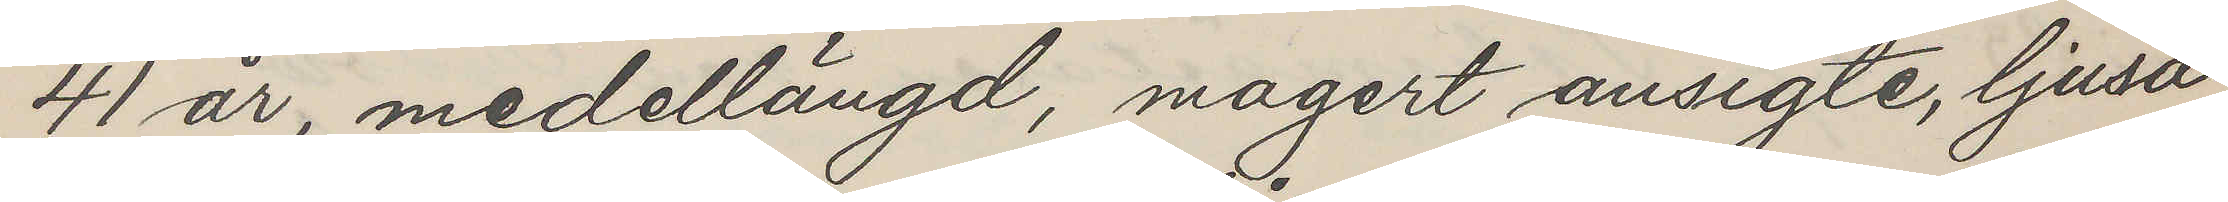41 år, medellängd, magert ansigte, ljusa
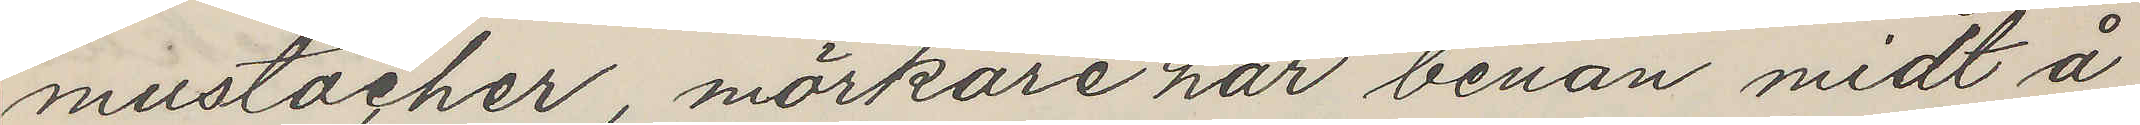mustacher, mörkare hår benan midt å
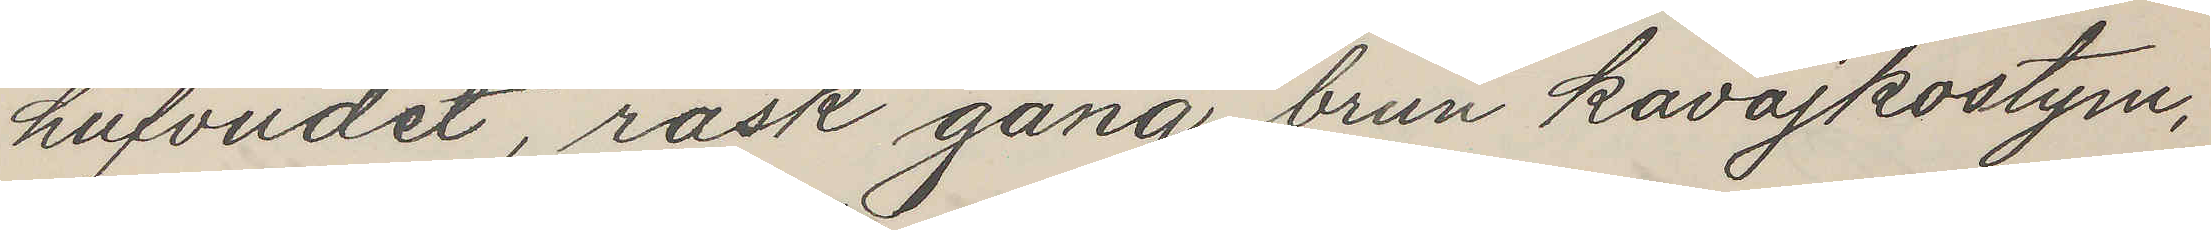hufvudet, rask gång, brun kavajkostym,
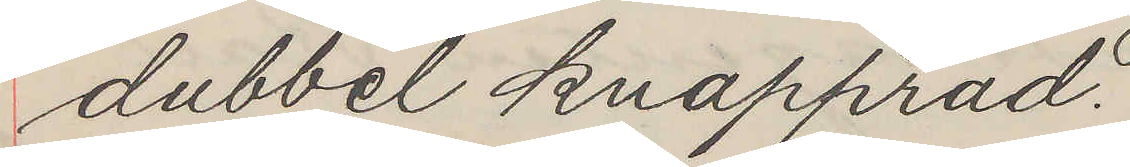dubbel knapprad.
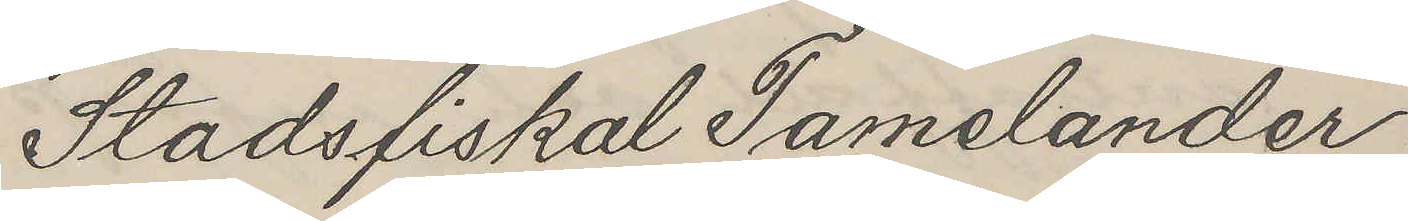Stadsfiskal Tamelander
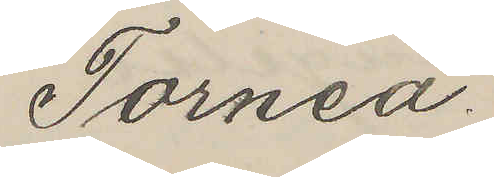Torneå.
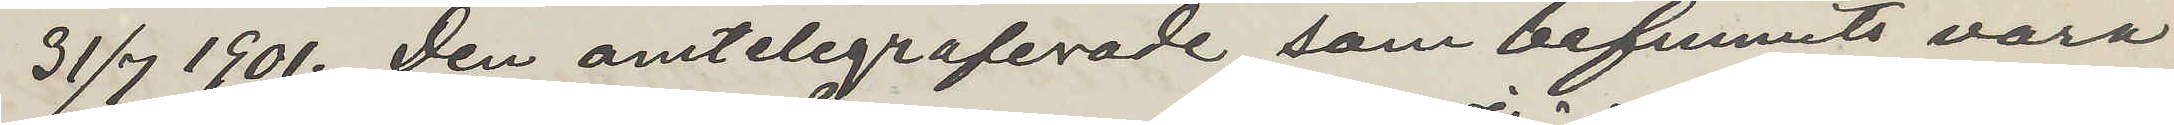31/7 1901. Den omtelegraferade, som befunnits vara
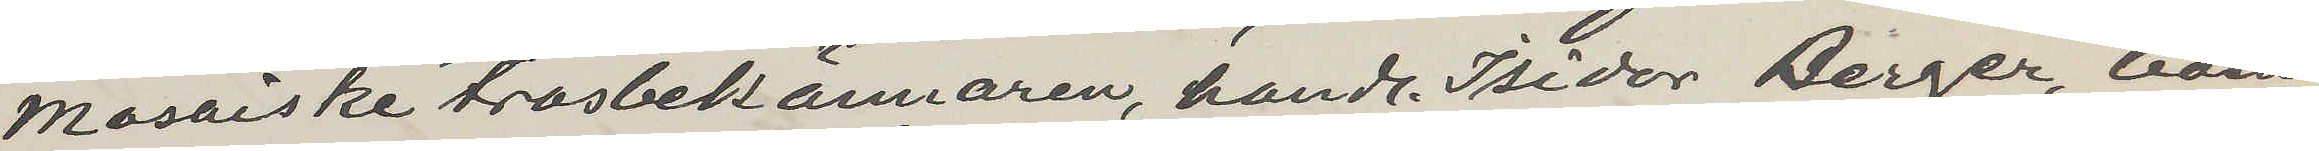mosaiske trosbekännaren, handl Isidor Berger, boen¬
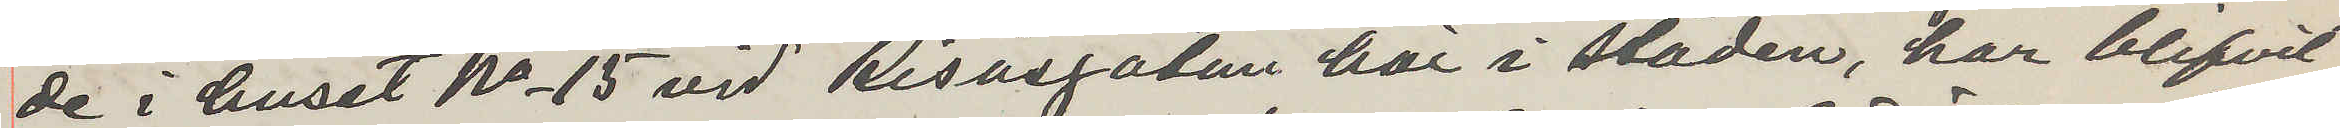de i huset No 15 vid Risåsgatan här i staden, har blifvit
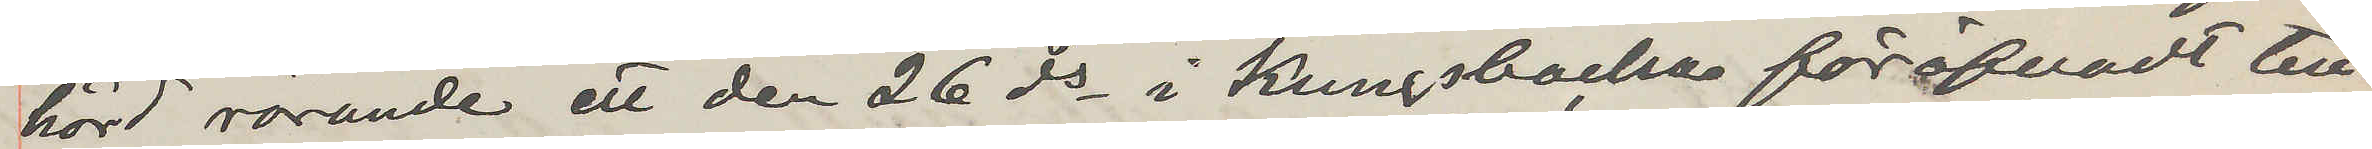hörd rörande ett den 26 ds i Kungsbacka föröfvadt till¬
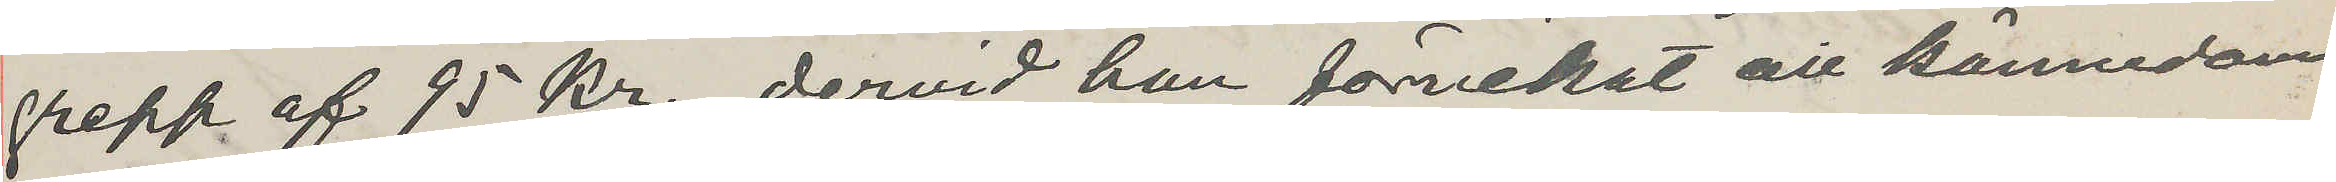grepp af 95 kr, dervid han förnekat all kännedom
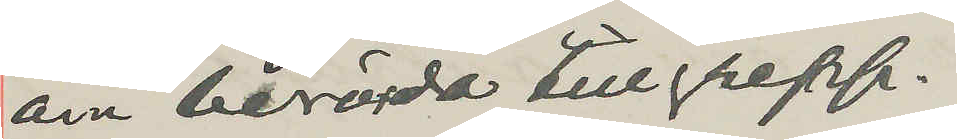om berörda tillgrepp.
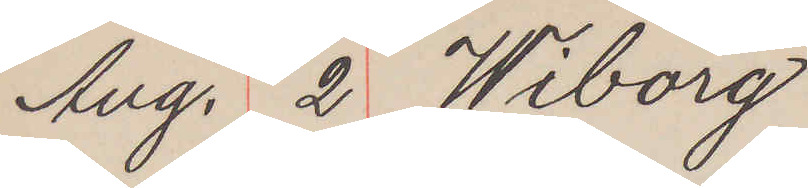Aug. 2 Wiborg
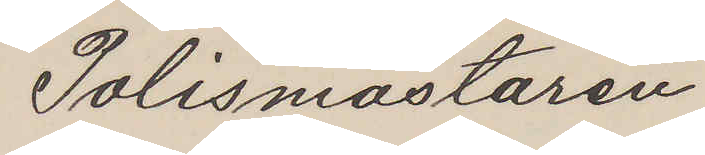Polismästaren
